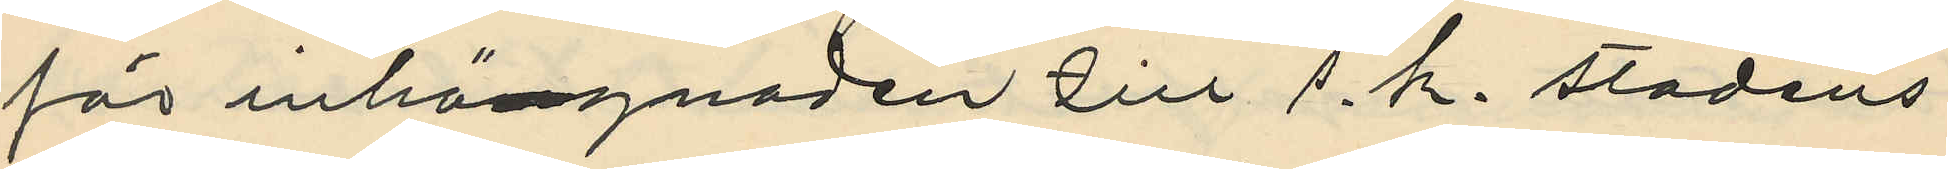för inhängnaden till s.k. stadens
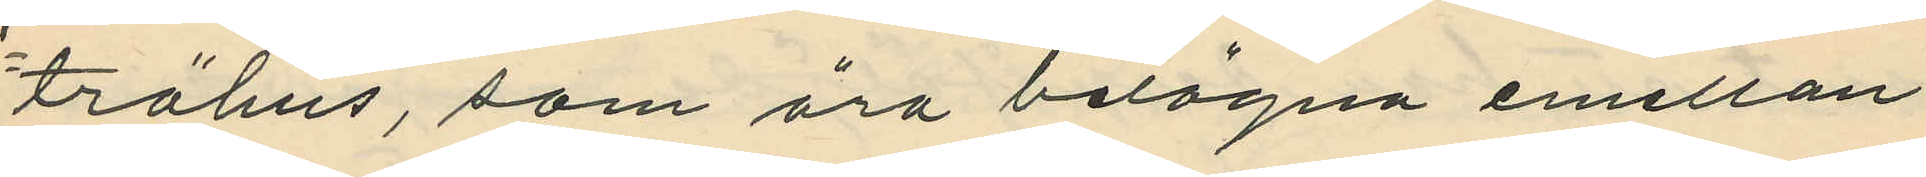trähus, som äro belägna emellan
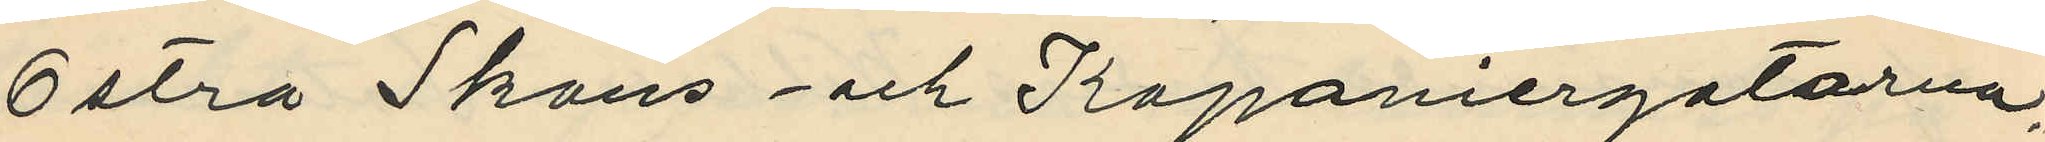Ostra Skans och Kaponiergatorna,
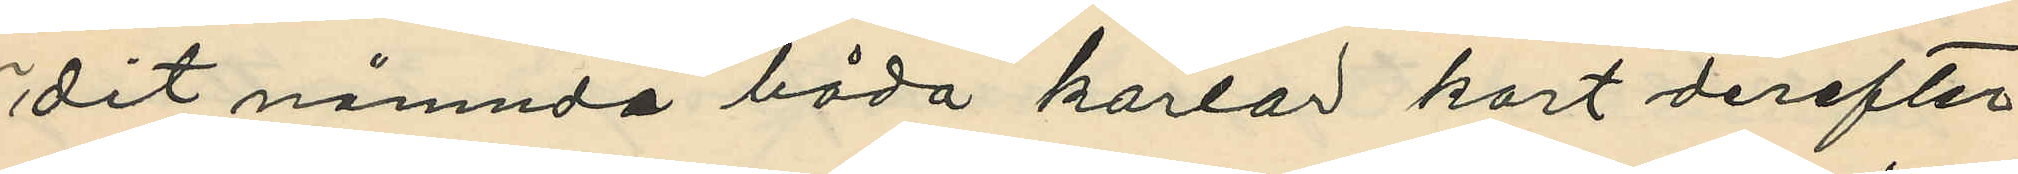dit nämnda båda karlar kort derefter
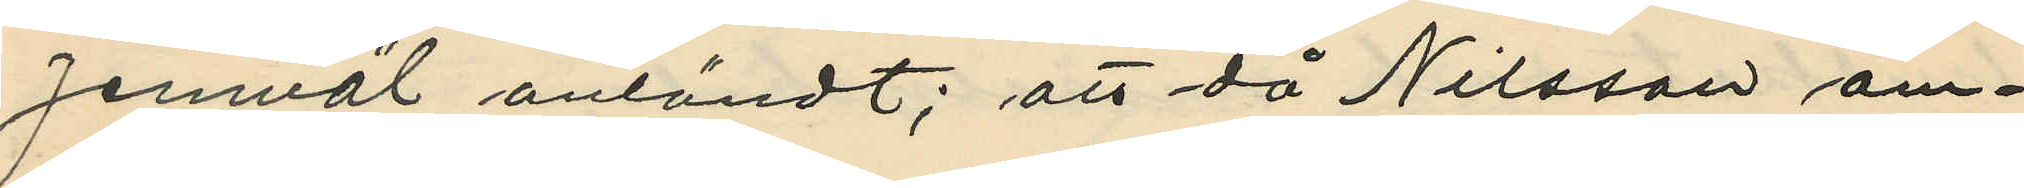jemväl anländt; att då Nilsson äm¬
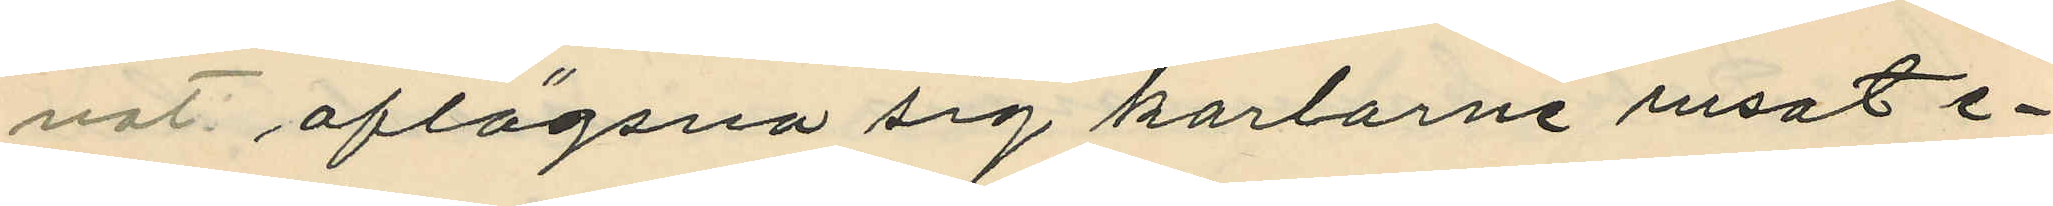nat aflägsna sig karlarne rusat e¬
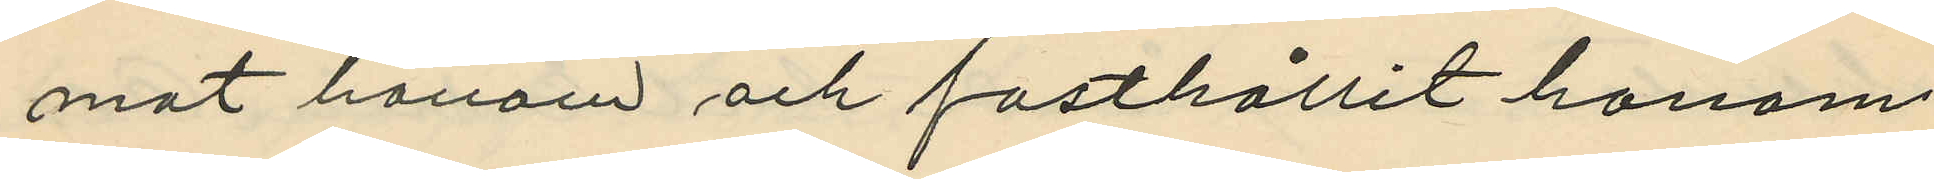mot honom och fasthållit honom
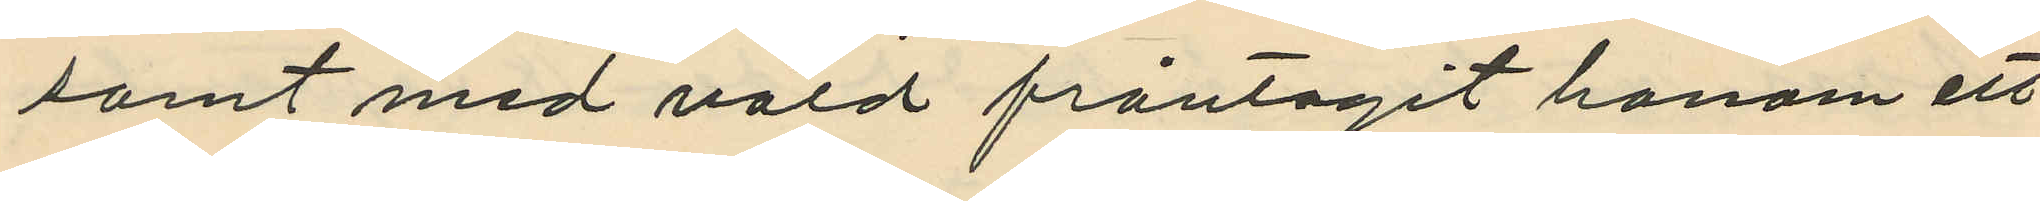samt med våld fråntagit honom ett
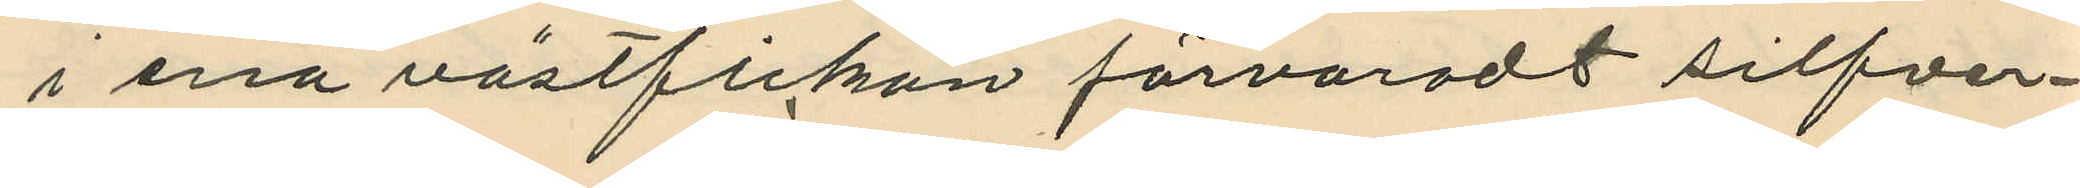i ena västfickan förvaradt silfver¬
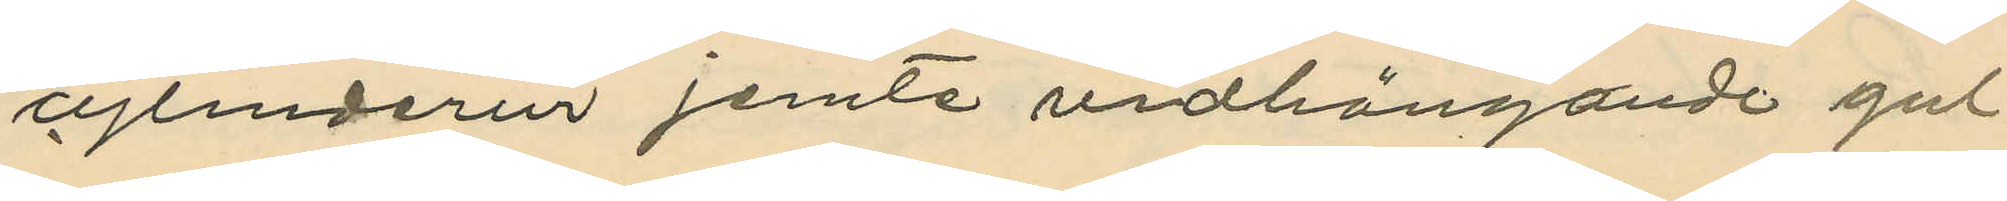cylinderur jemte vidhängande gul
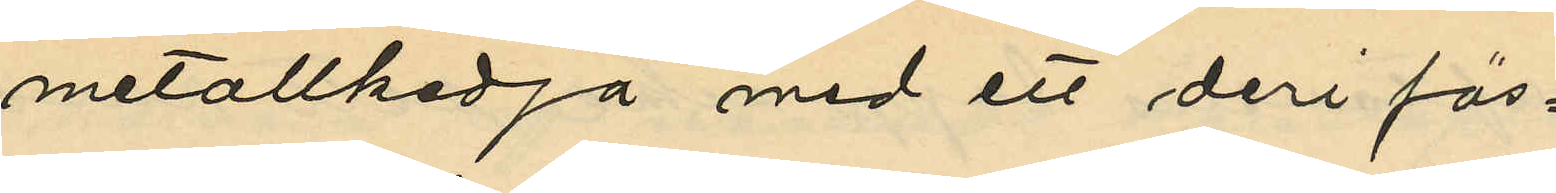metallkedja med ett deri fäs¬
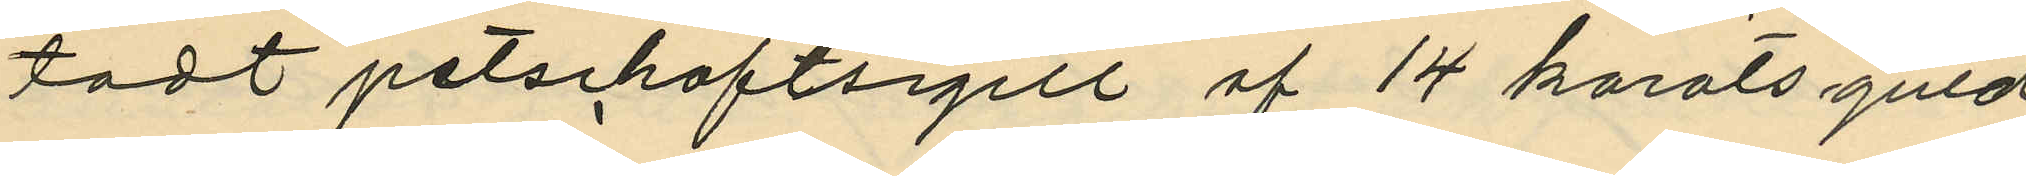tadt petschaftsigill af 14 karats guld,
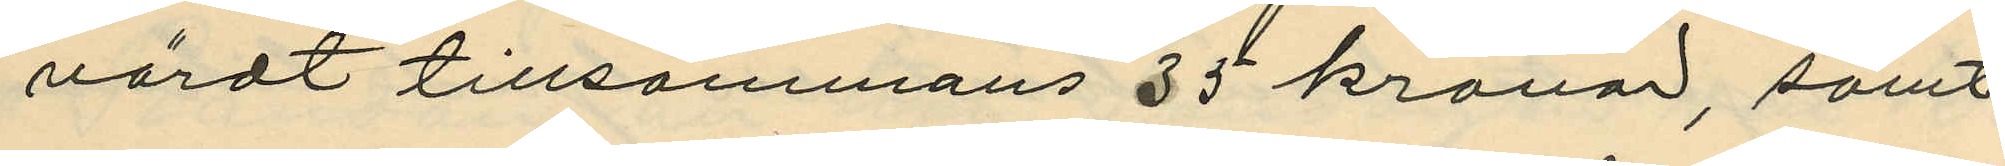värdt tillsammans 35 kronar, samt
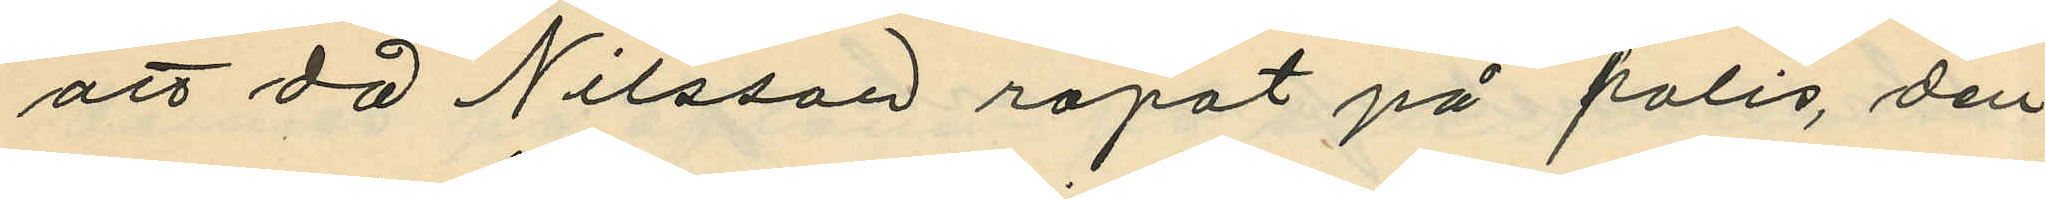att då Nilsson ropat på polis, den
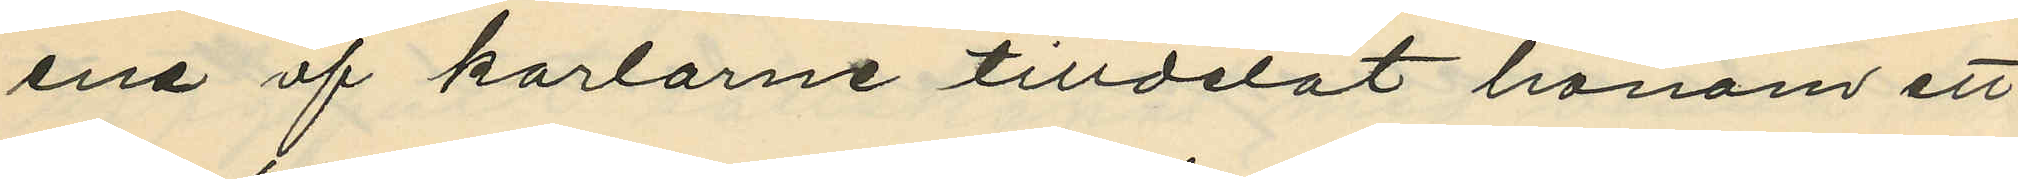ena af karlarne tilldelat honom ett
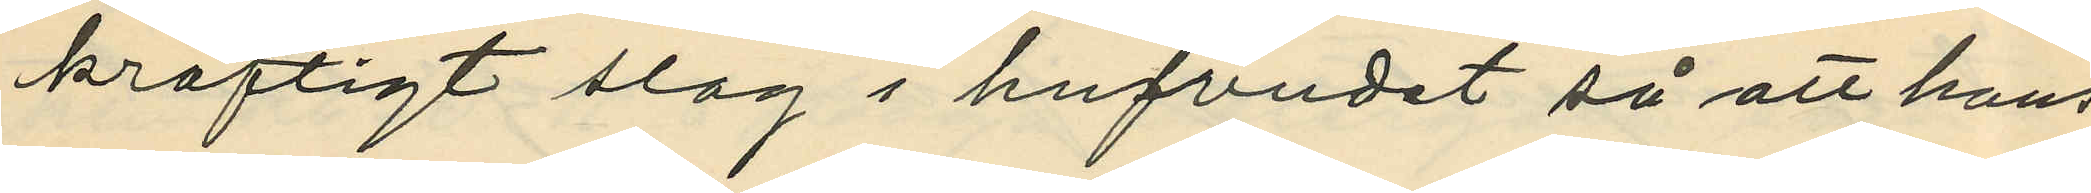kraftigt slag i hufvudet så att hans
